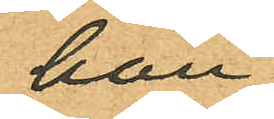han
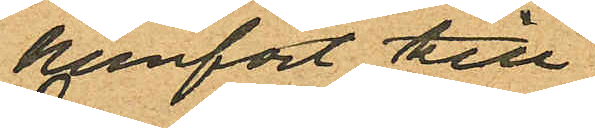hemfört till
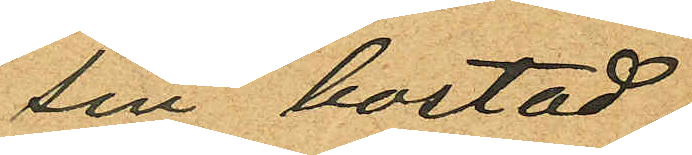sin bostad;
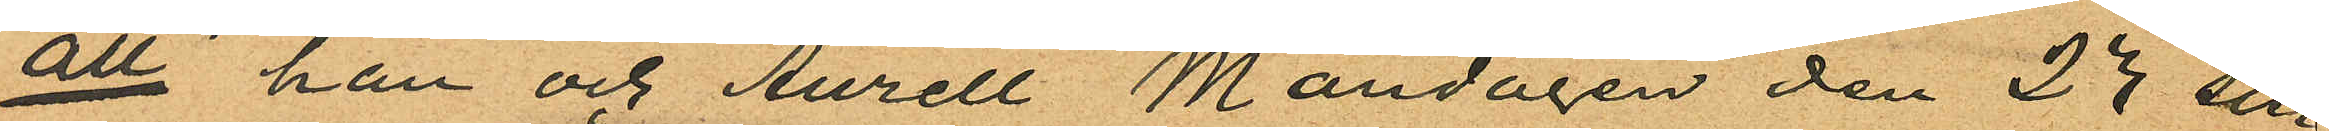att han och Aurell Måndagen den 23 sist
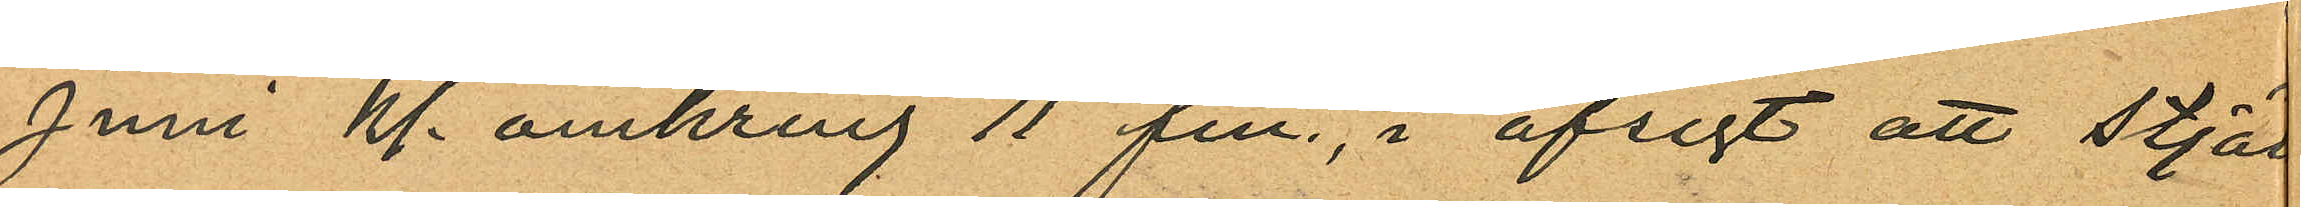Juni Kl. omkring 11 fm, i afsigt att stjäl
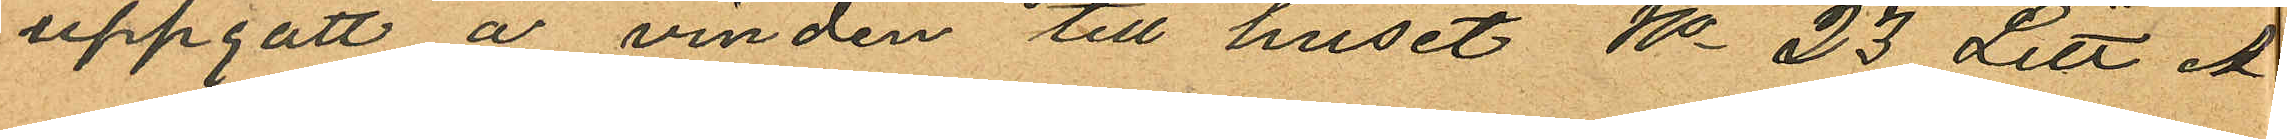uppgått å vinden till huset No 23 Litt. A
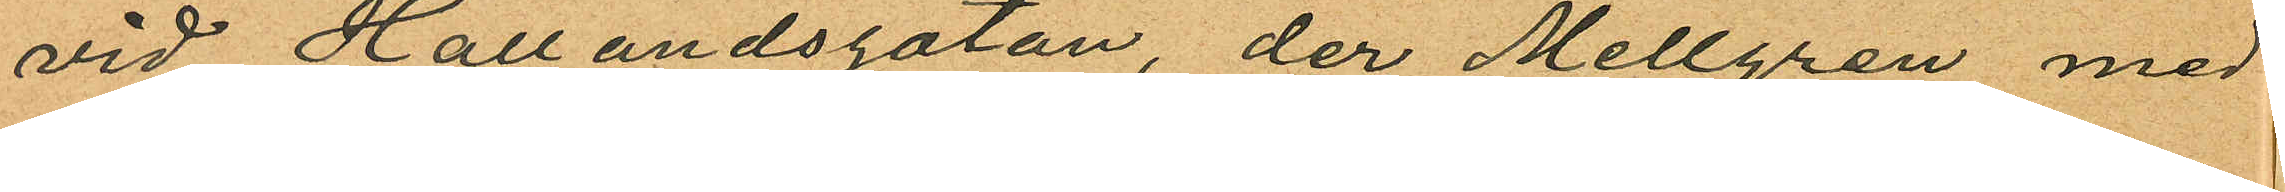vid Hallandsgatan, der Mellgren med
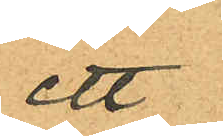ett
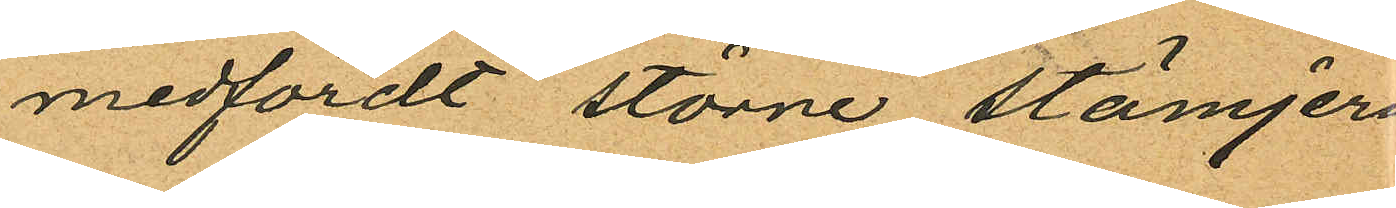medfördt större stämjern
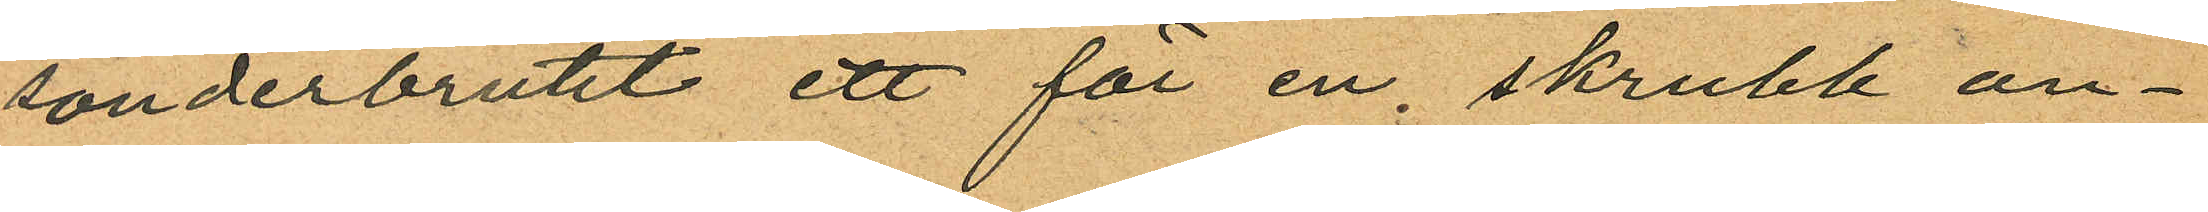sönderbrutit ett för en, skrubb an¬
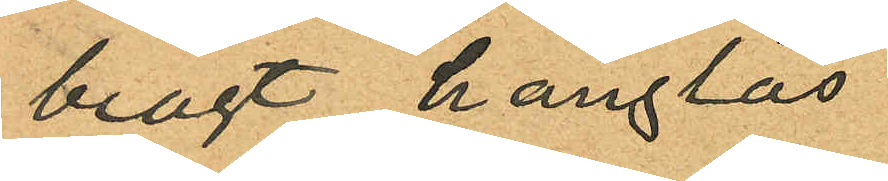bragt hänglås
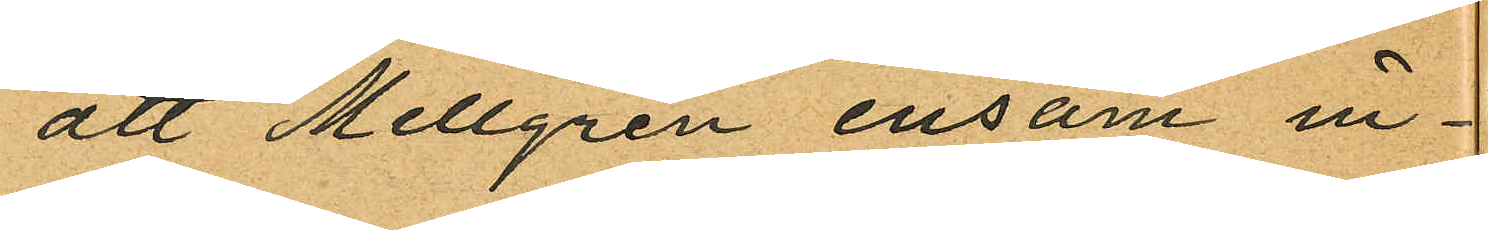att Mellgren ensam in¬
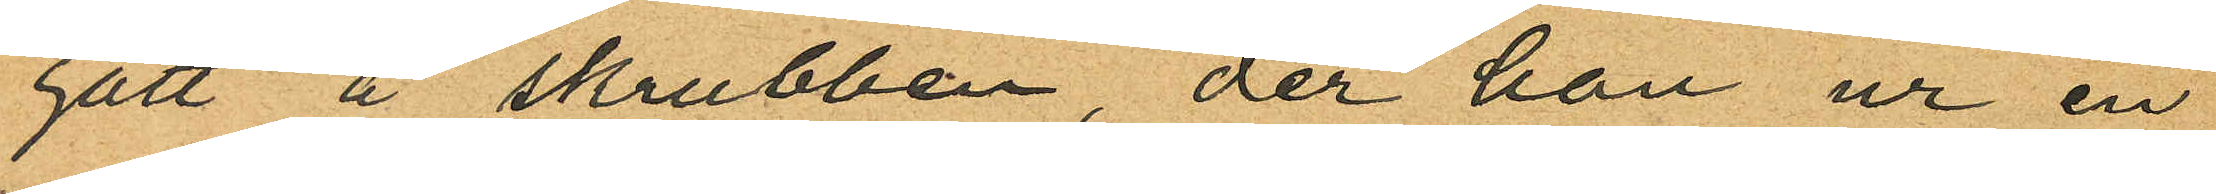gått å skrubben, der han ur en
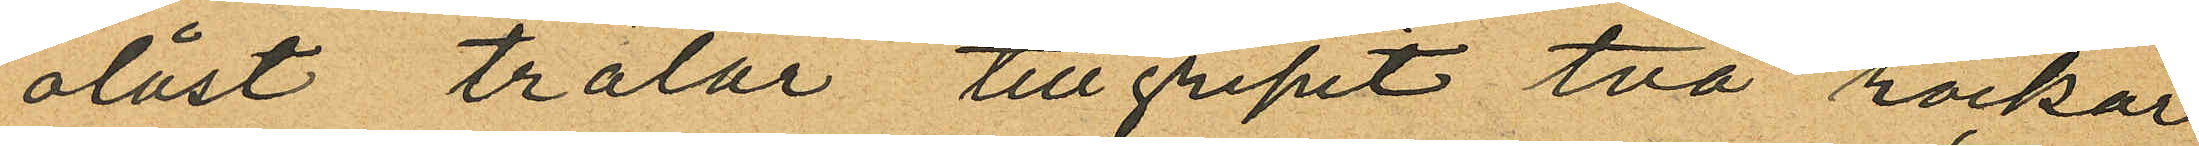olåst trälår tillgripit två rockar
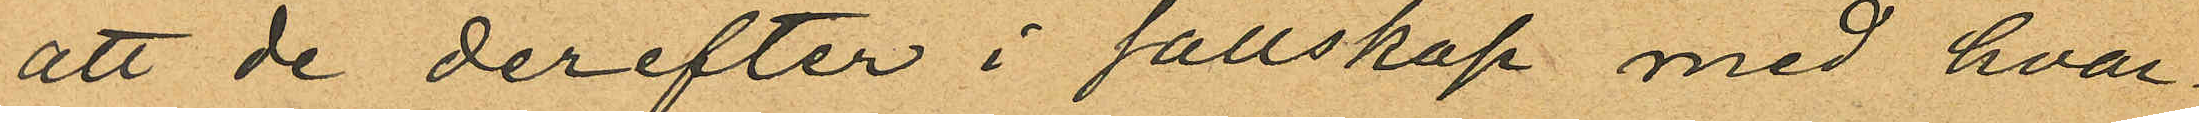att de derefter i sällskap med hvar
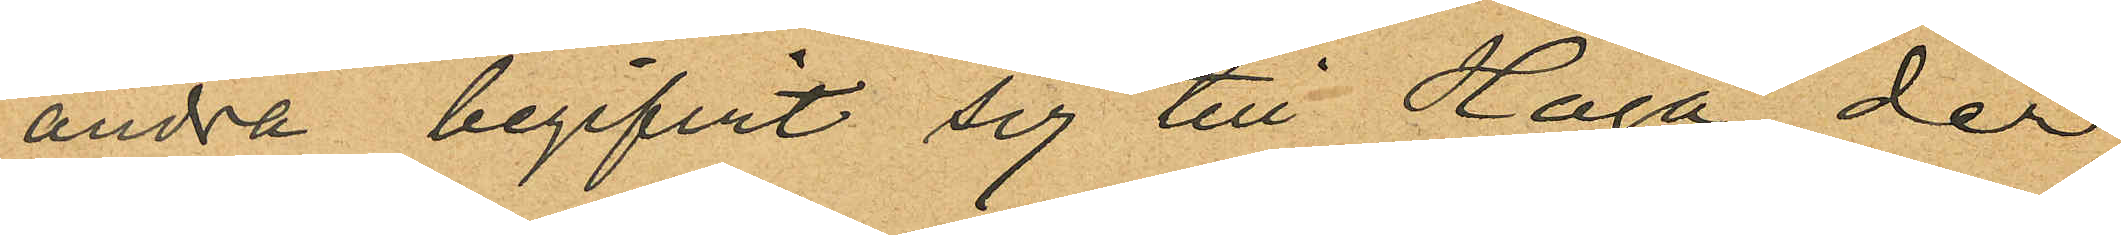andra begifvit sig till Haga der
